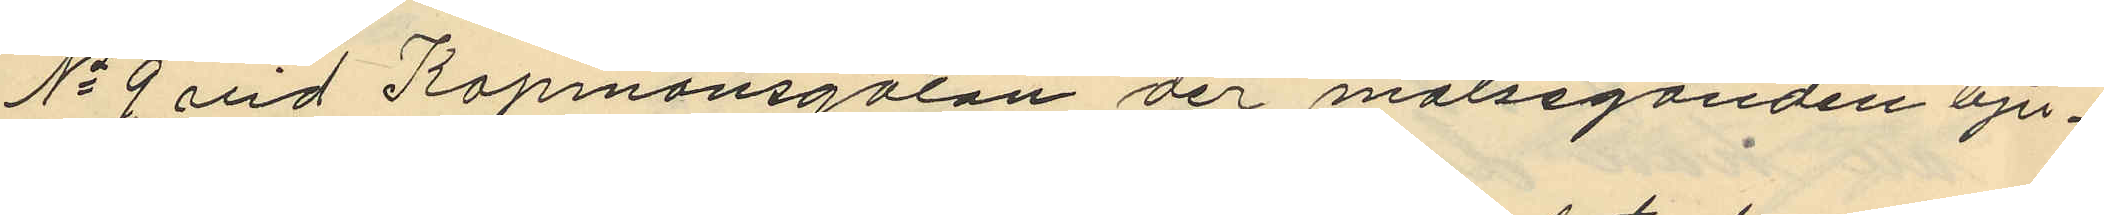No 9 vid Köpmansgatan der målseganden bju¬
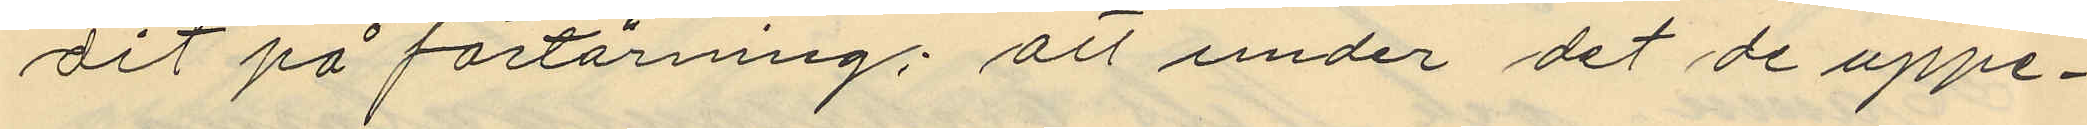dit på förtärning; att under det de uppe¬
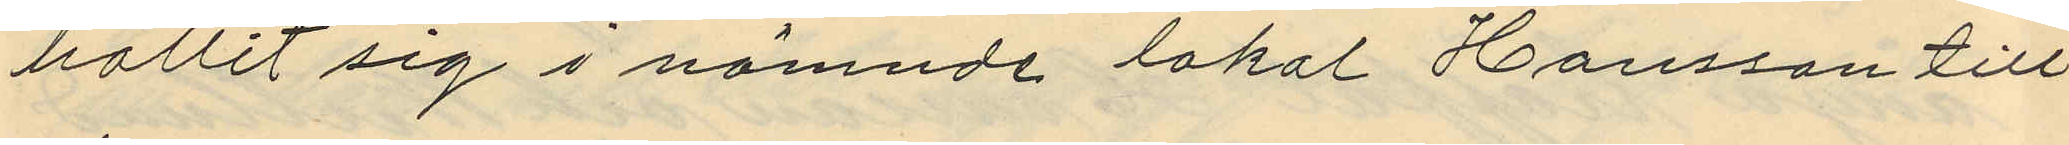hållit sig i nämnde lokal Hansson till
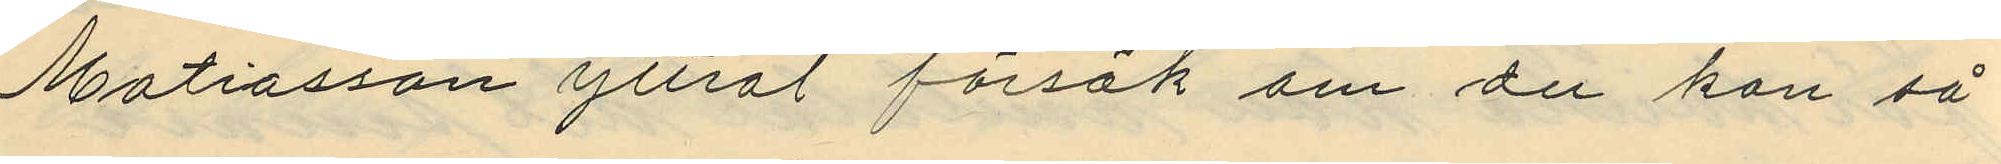Matiasson yttrat "försök om du kan så
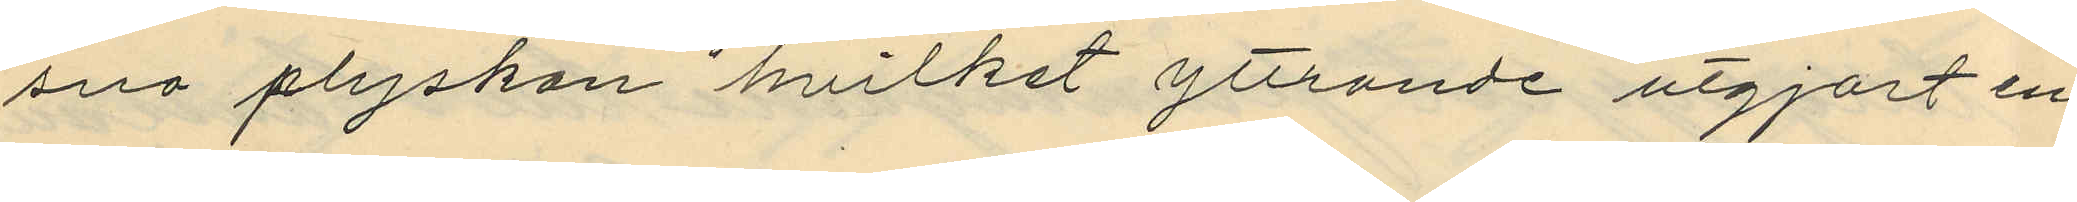sno plyskan" hvilket yttrande utgjort en
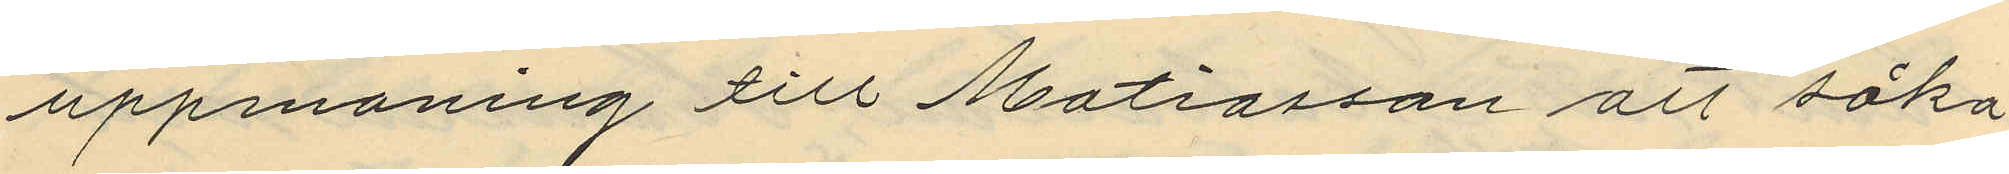uppmaning till Matiasson att söka
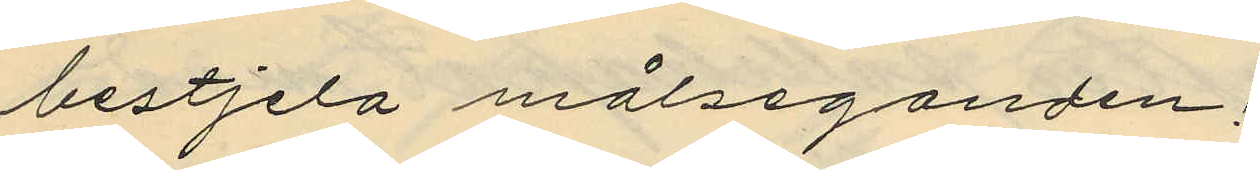bestjela målseganden;
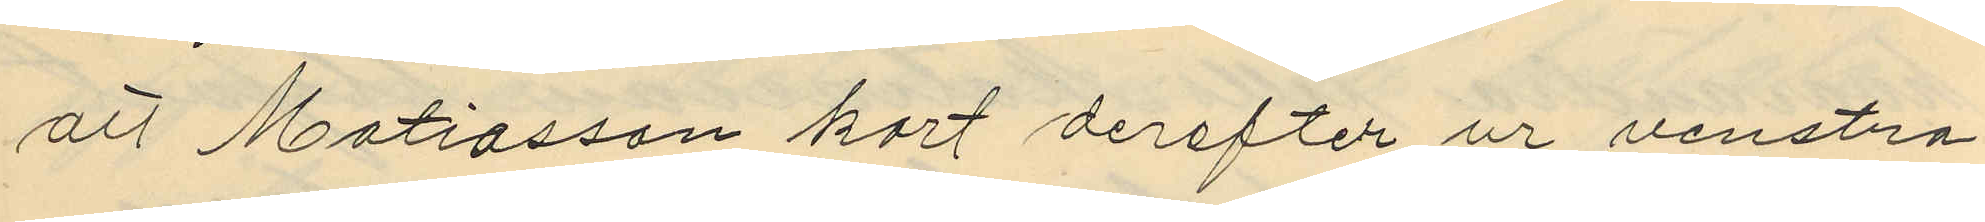att Matiasson kort derefter ur venstra
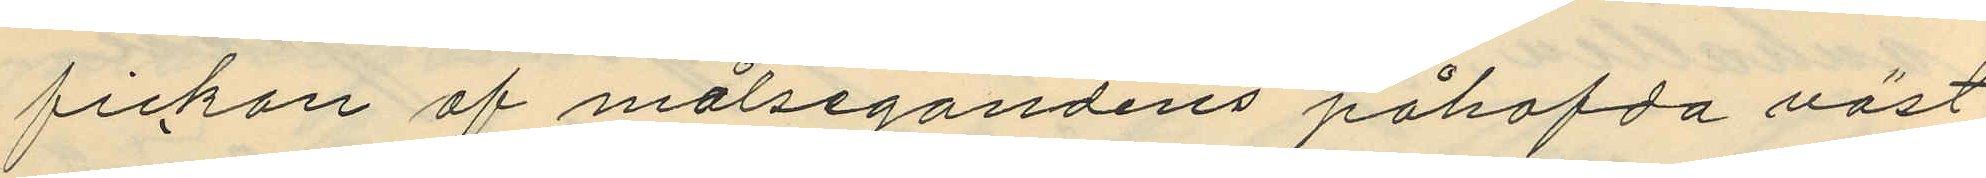fickan af målsegandens påhafda väst
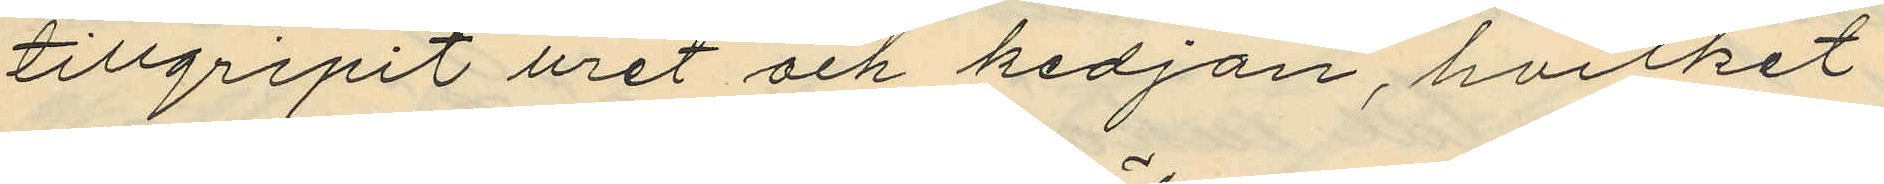tillgripit uret och kedjan, hvilket
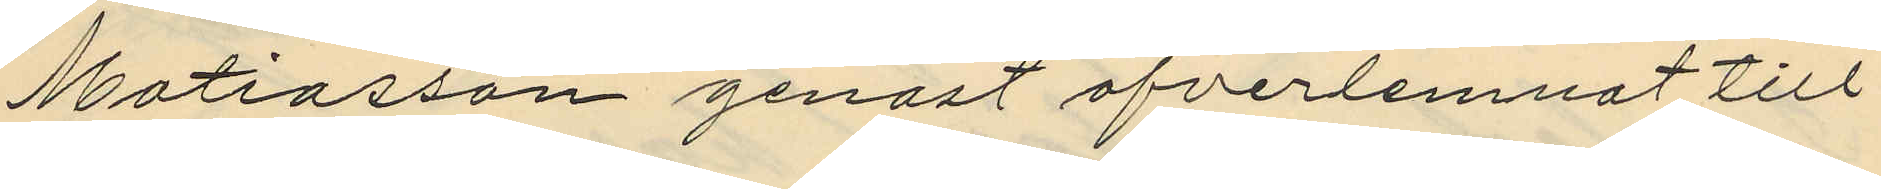Matiasson genast öfverlemnat till
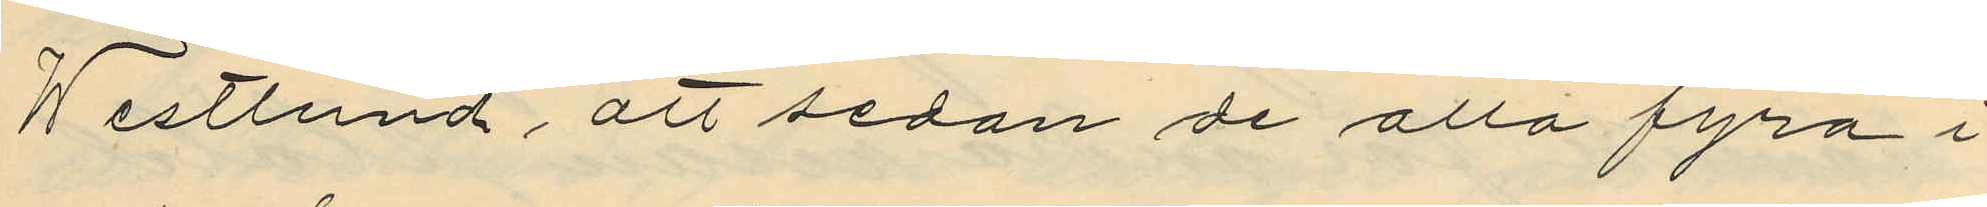Westlund, att sedan de alla fyra i
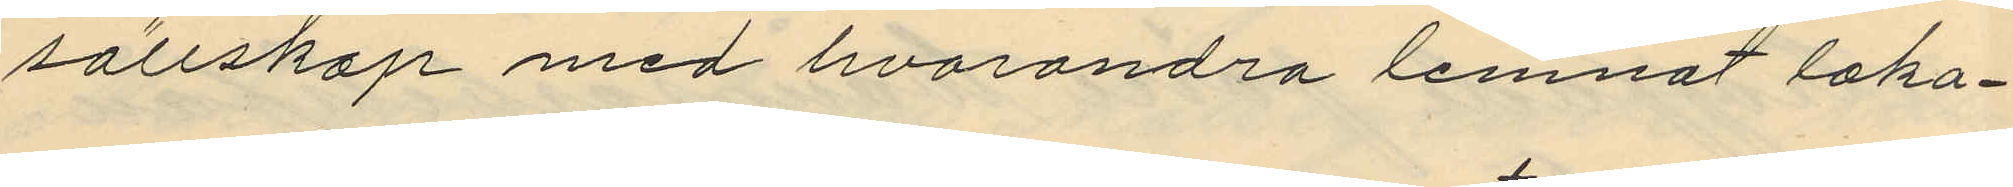sällskap med hvarandra lemnat loka¬
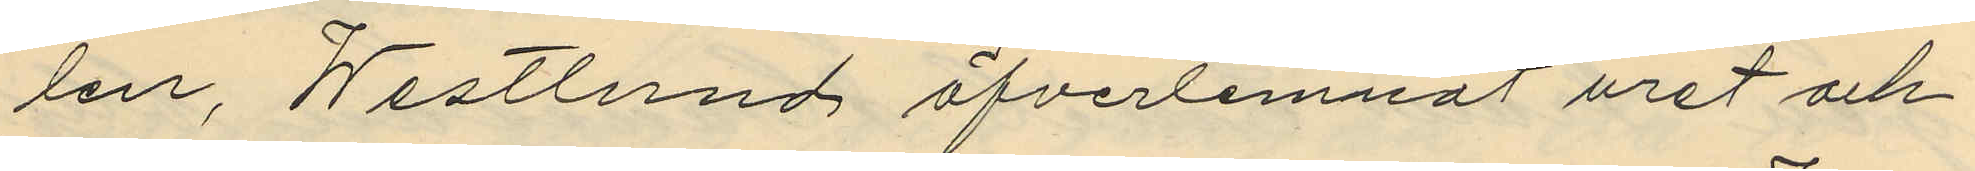len, Westlund öfverlemnat uret och
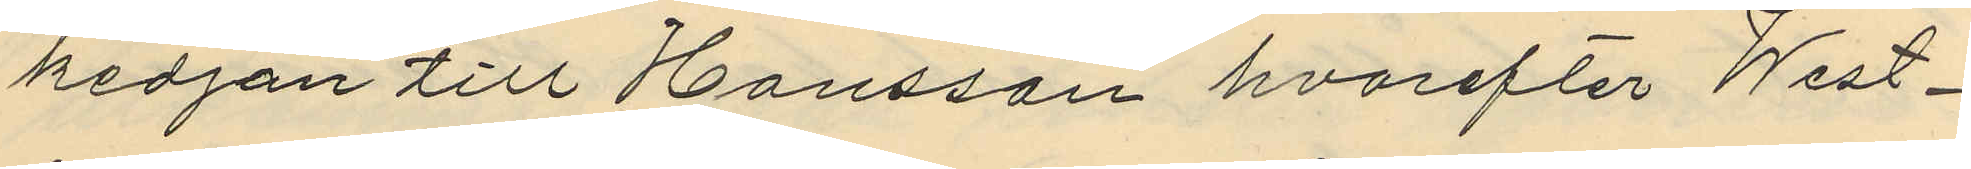kedjan till Hansson hvarefter West¬
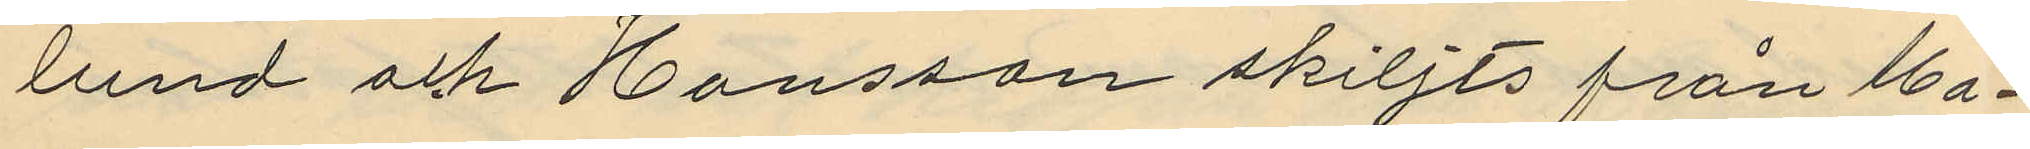lund och Hansson skiljts från Ma¬
